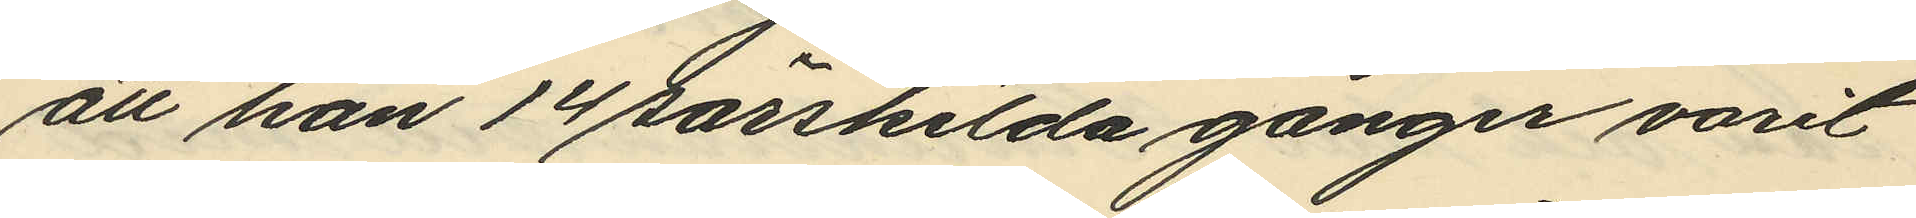att han 14 särskilda gånger varit
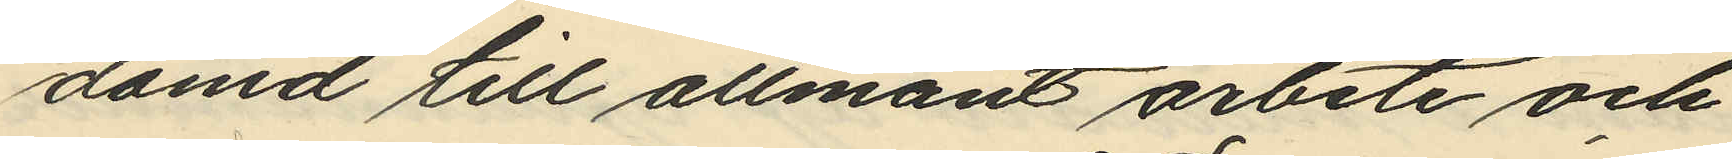dömd till allmänt arbete och
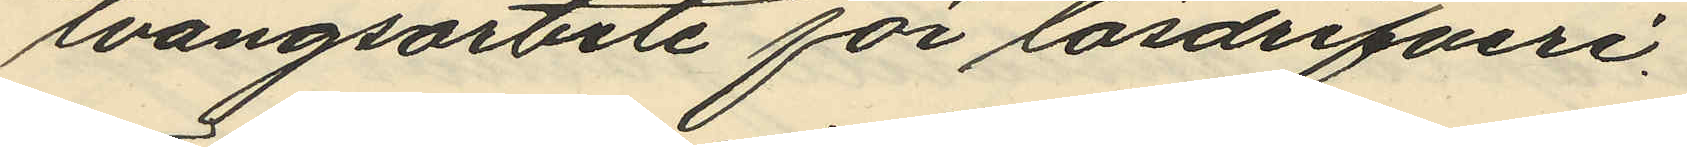tvångsarbete för lösdrifveri,
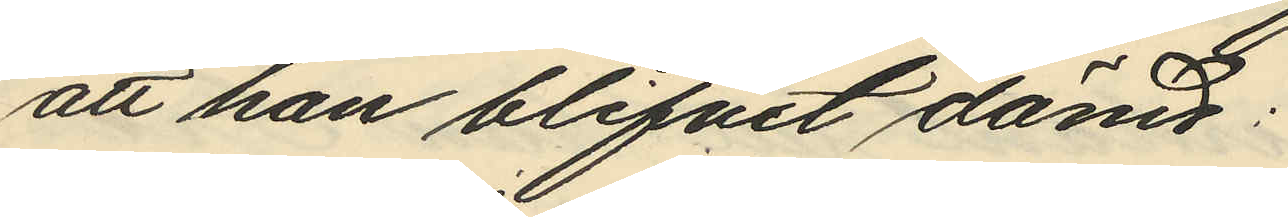att han blifvit dömd:
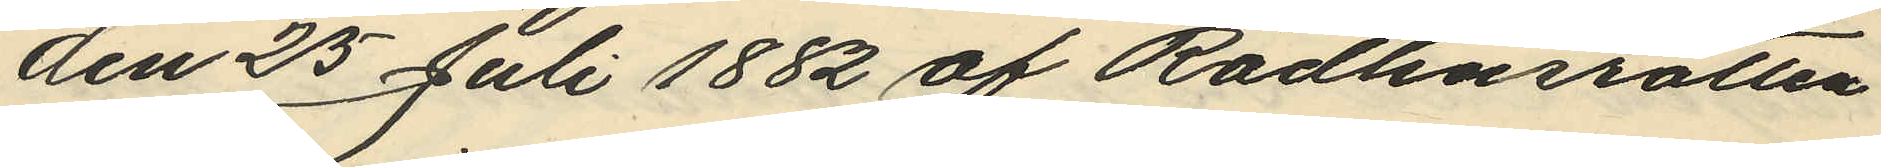den 25 Juli 1882 af Rådhusrotten
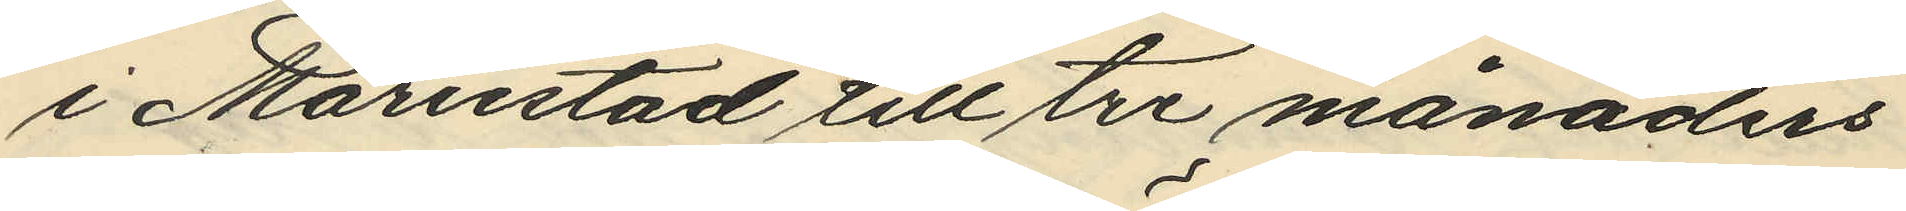i Moristad till tre månaders
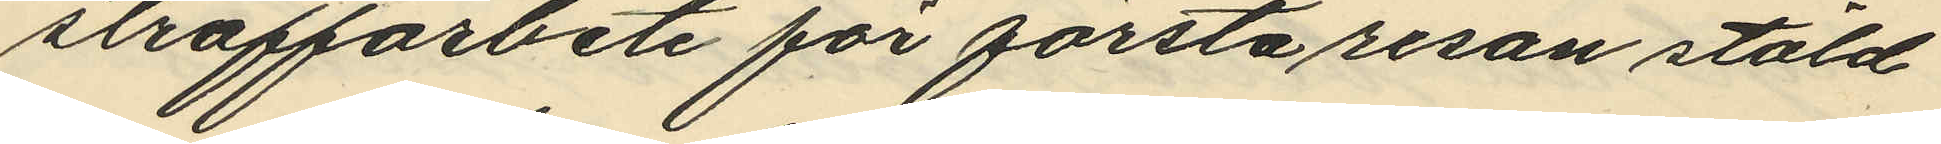straffarbete för första resan stöld
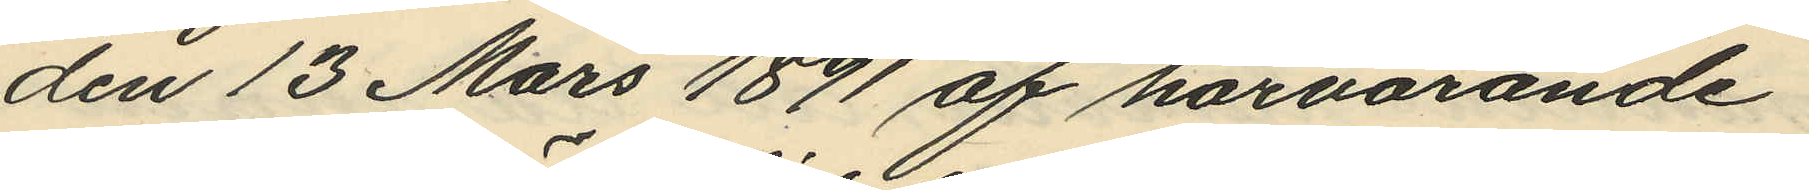den 13 Mars 1891 af härvarande
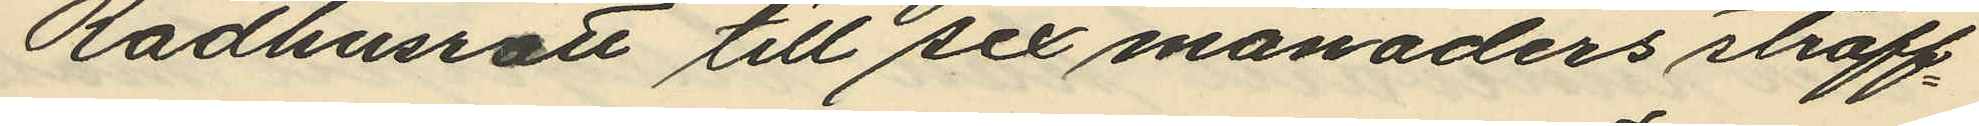Rådhusrätt till sex månaders straff¬
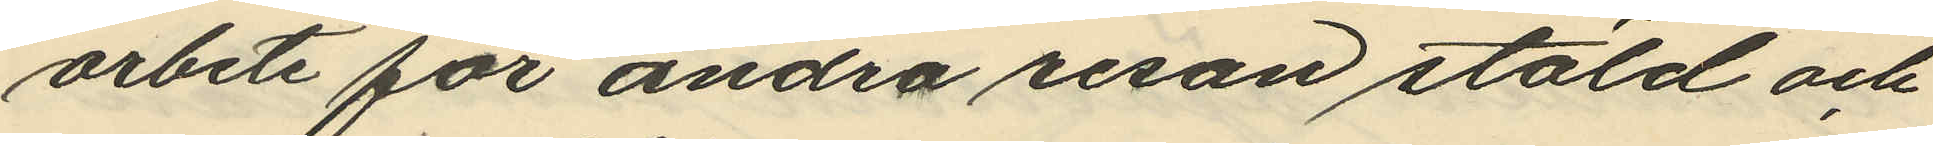arbete för andra resan stöld och
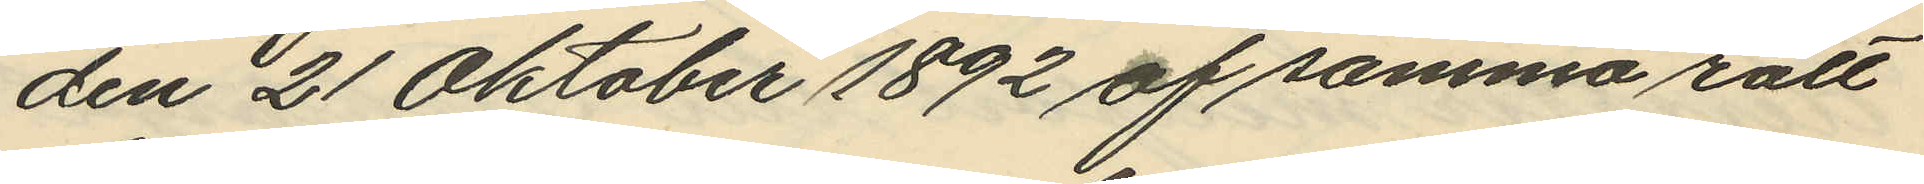den 21 Oktober 1892 af samma rätt
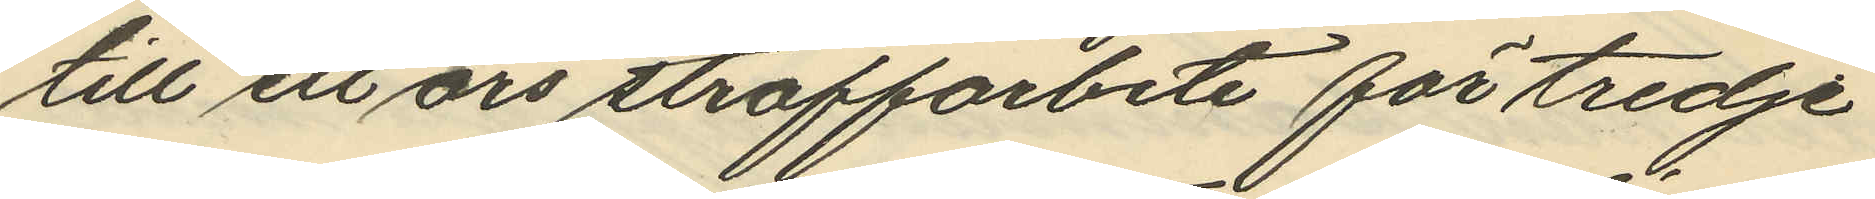till ett års straffarbete för tredje
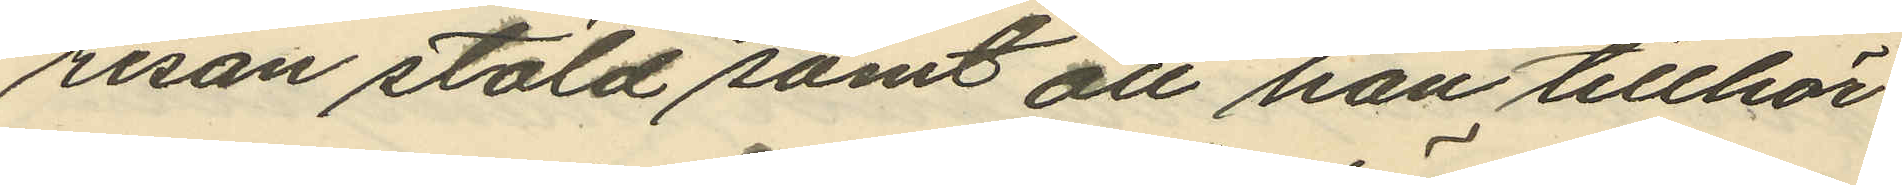resan stöld samt att han tillhör
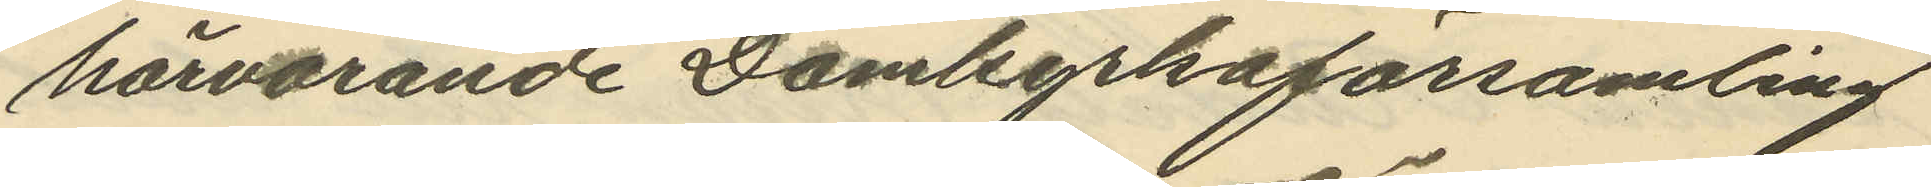härvarande Domkyrkoförsamling
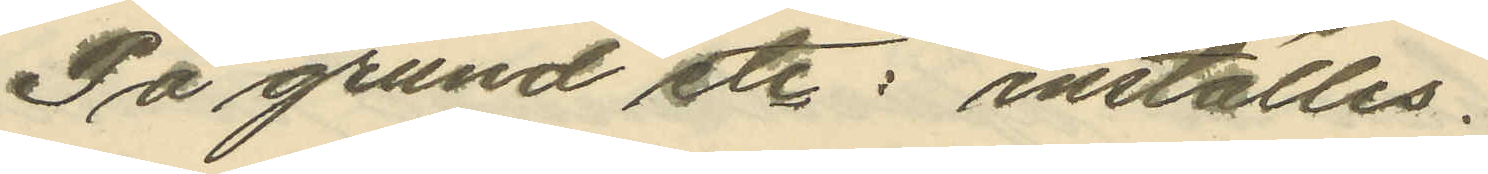På grund etc: inställes.
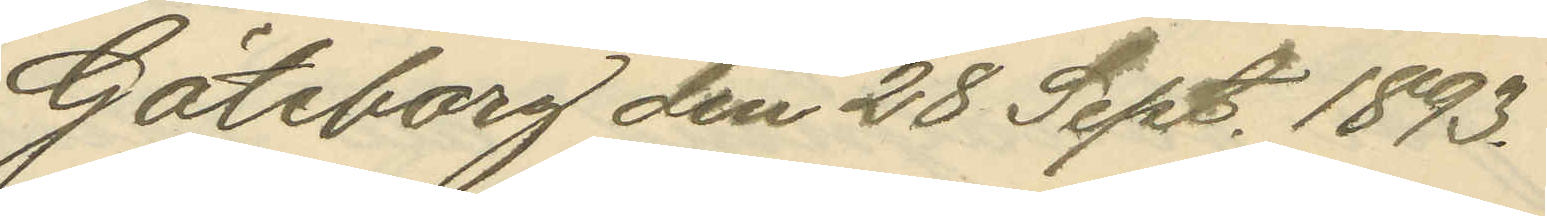Göteborg den 28 Sept. 1893.
